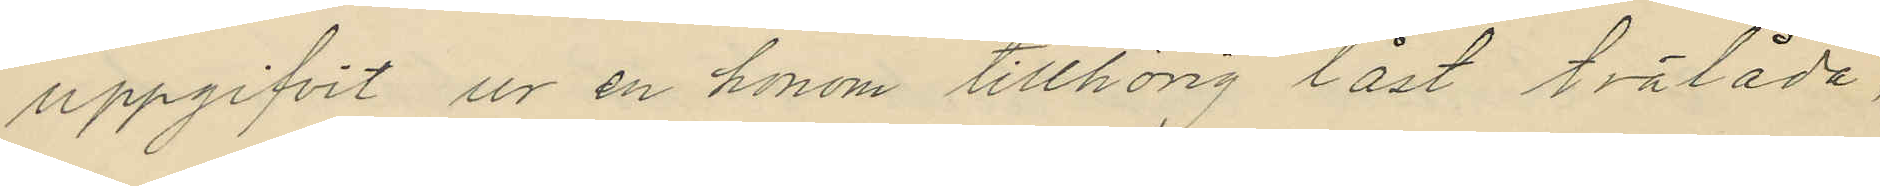uppgifvit ur en honom tillhörig låst trälåda,
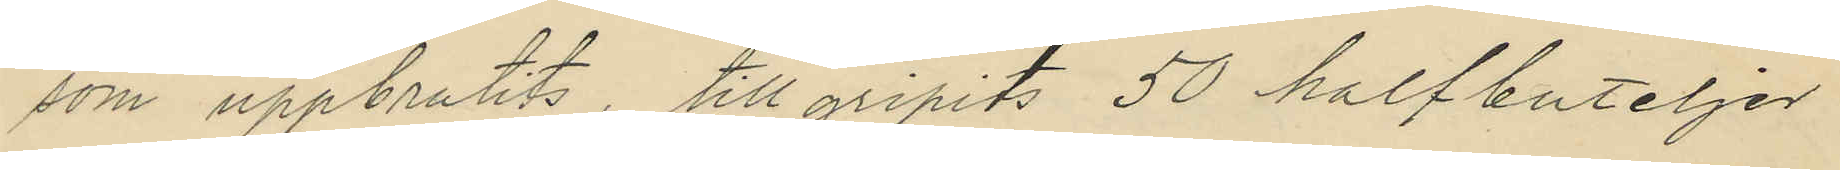som uppbrutits, tillgripits 50 halfbuteljer
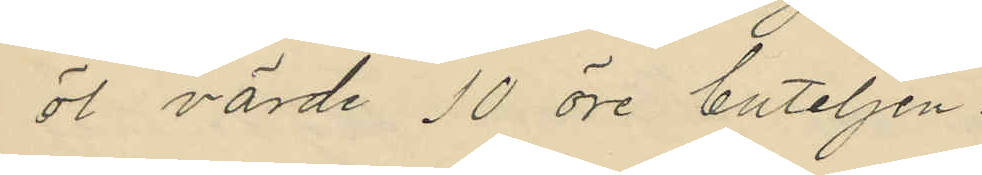öl värde 10 öre buteljen.
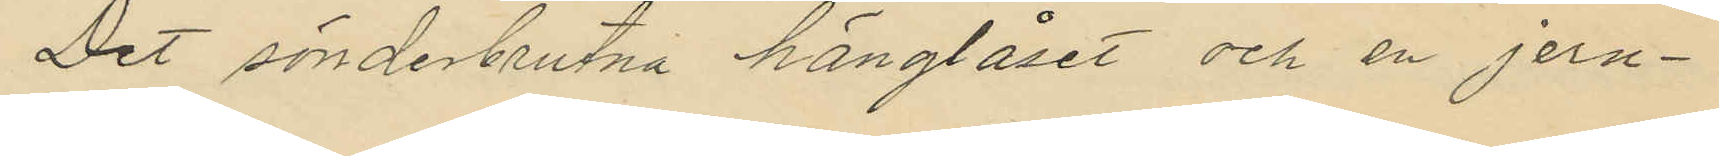Det sönderbrutna hänglåset och en jern¬
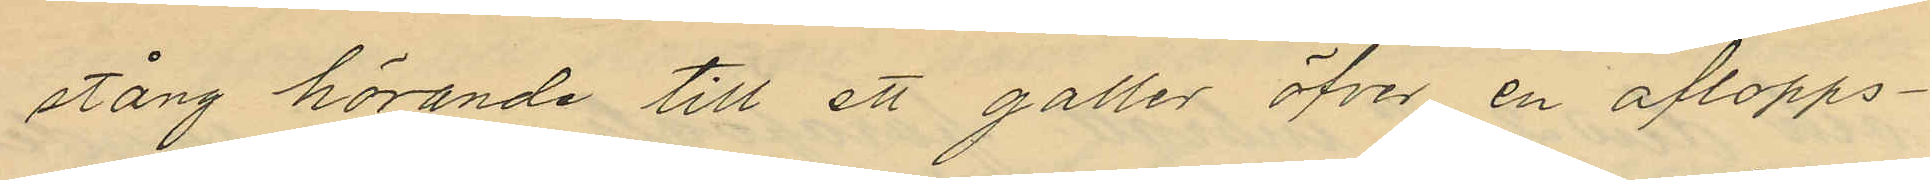stång hörande till ett galler öfver en aflopps¬
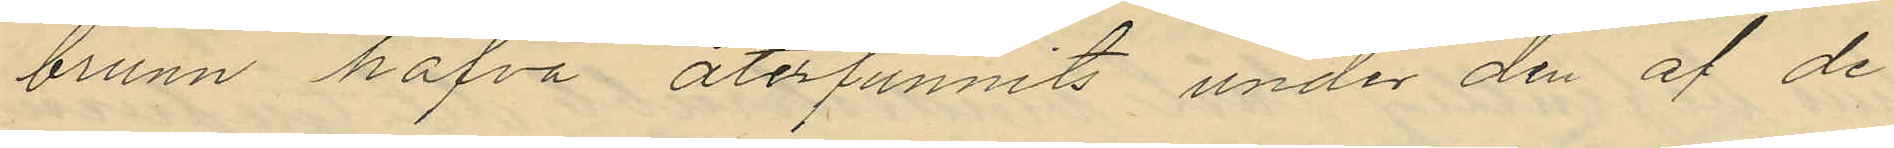brunn hafva återfunnits under den af de
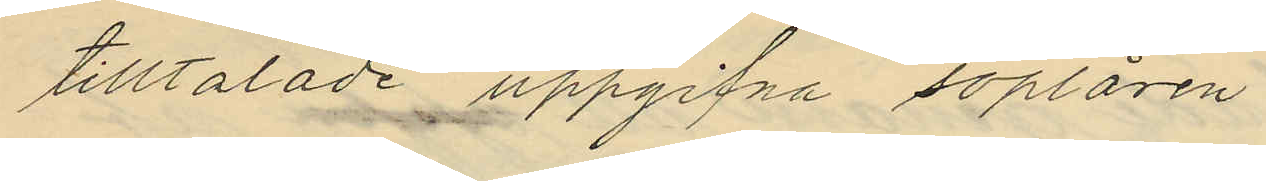tilltalade uppgifna soplåren
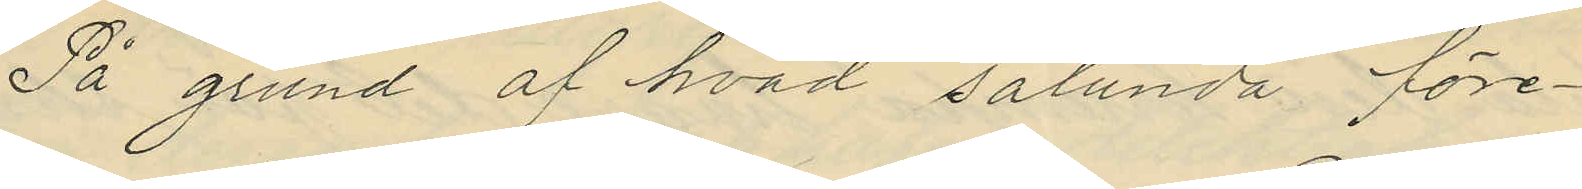På grund af hvad sålunda före¬
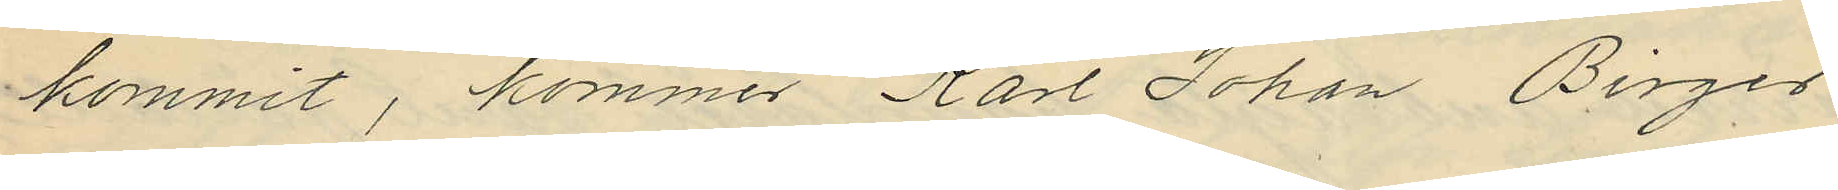kommit, kommer Karl Johan Birger
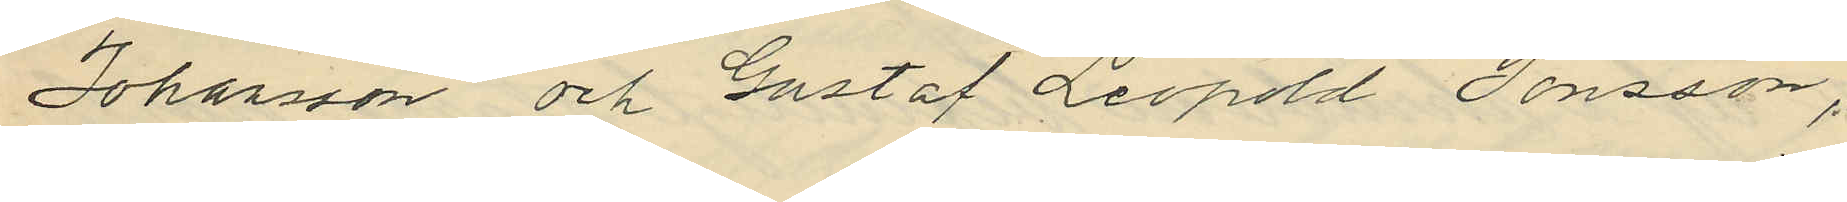Johansson och Gustaf Leopold Jönsson,
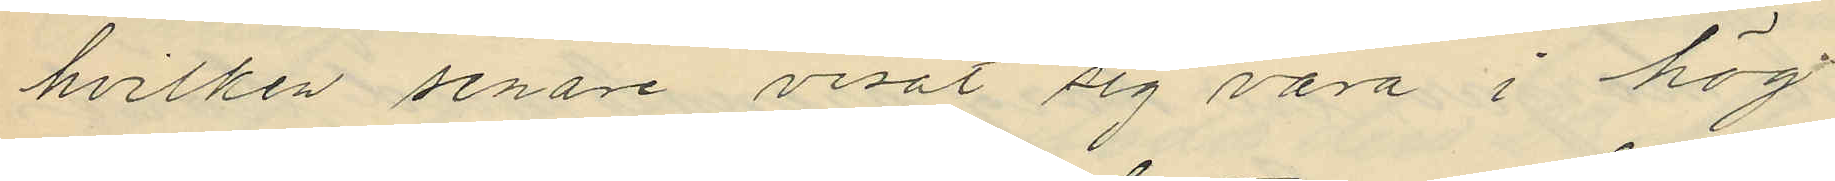hvilken senare visat sig vara i hög¬
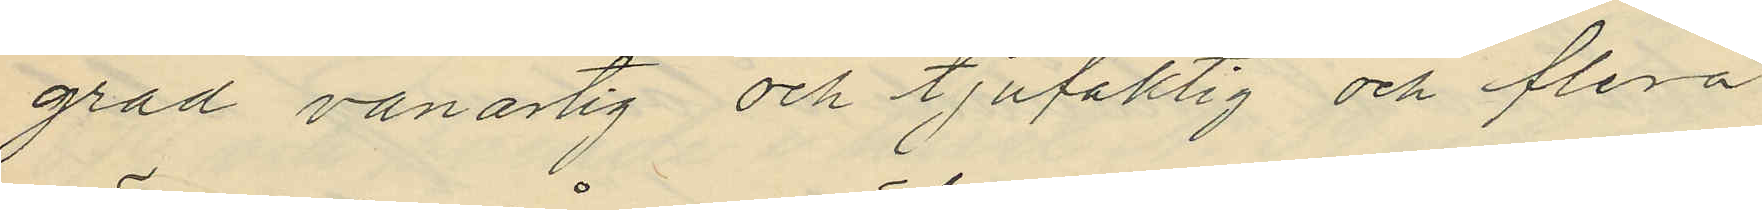grad vanartig och tjufaktig och flera
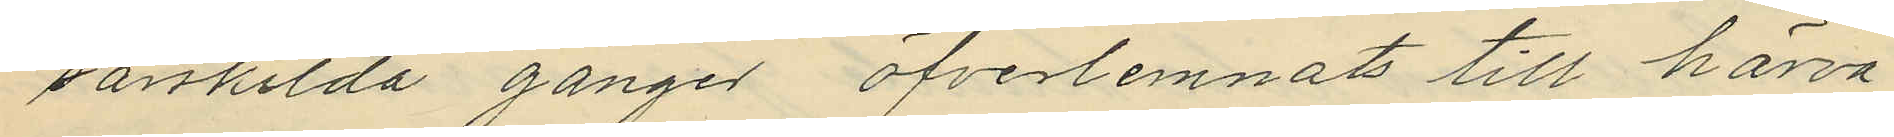särskilda gånger öfverlemnats till härva¬
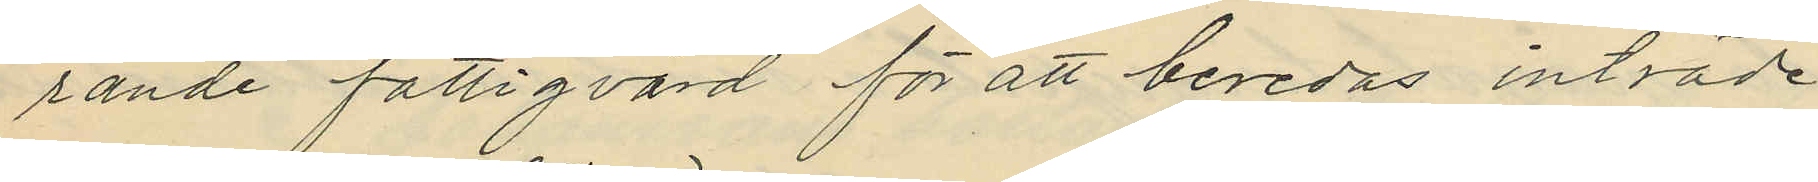rande fattigvård för att beredas inträde
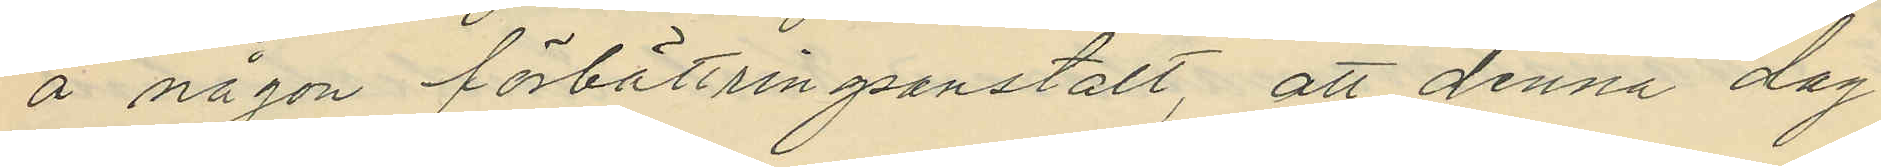å någon förbättringsanstalt, att denna dag
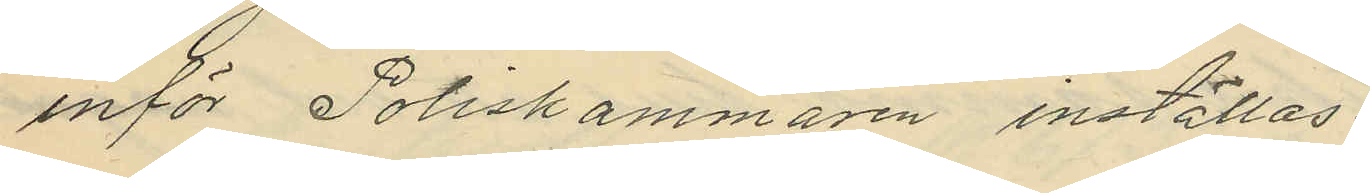inför Poliskammaren inställas.
